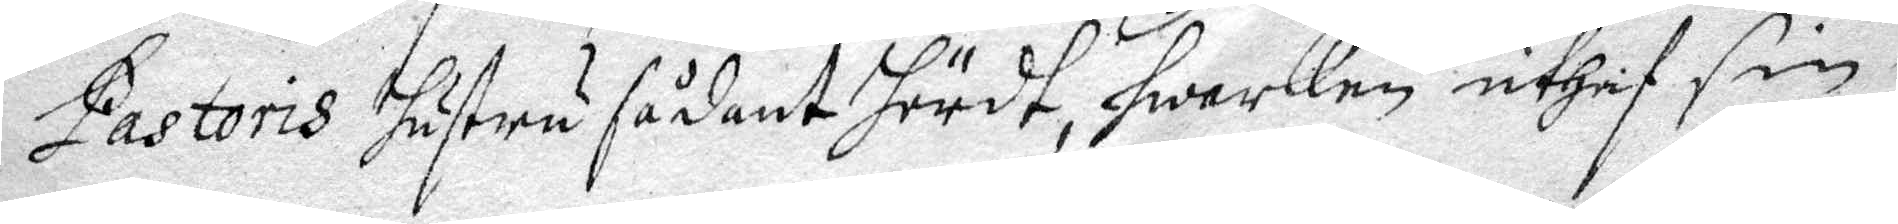Pastoris hustru sådant hördt, hwarken uthaf sin 
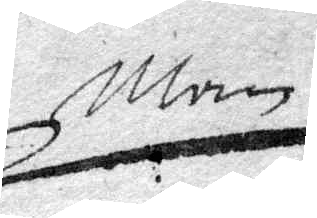man
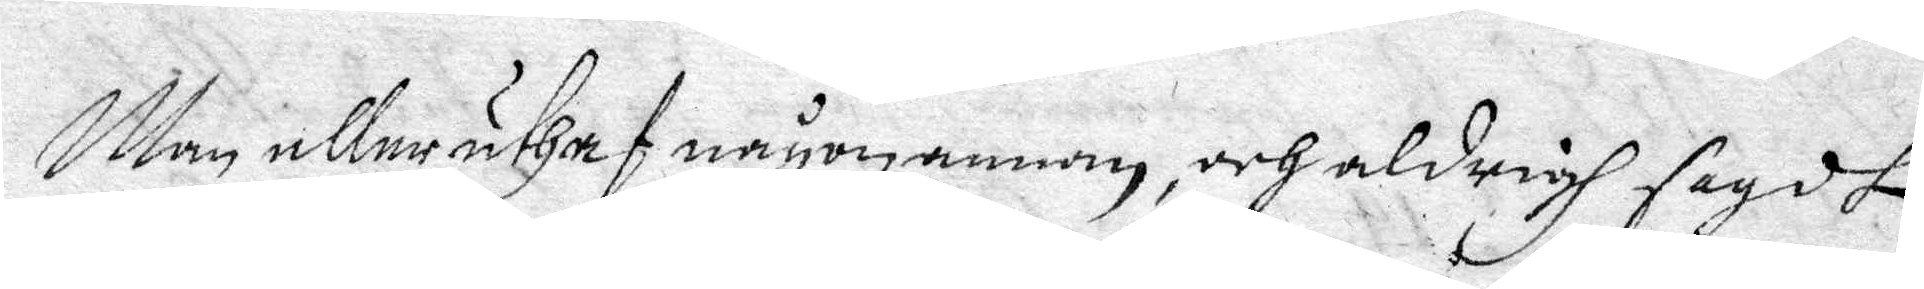Men eller uthaf någon annan, och aldrigh sagdt
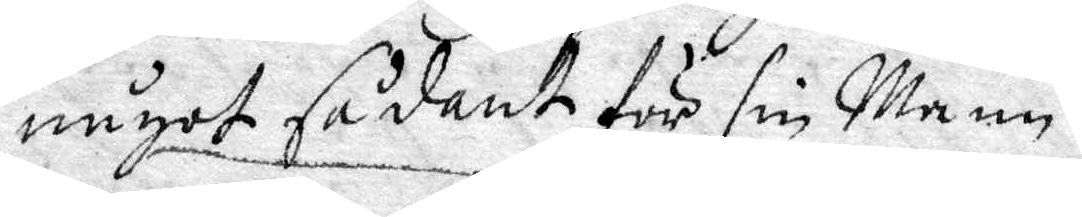något sådant för sin Man.
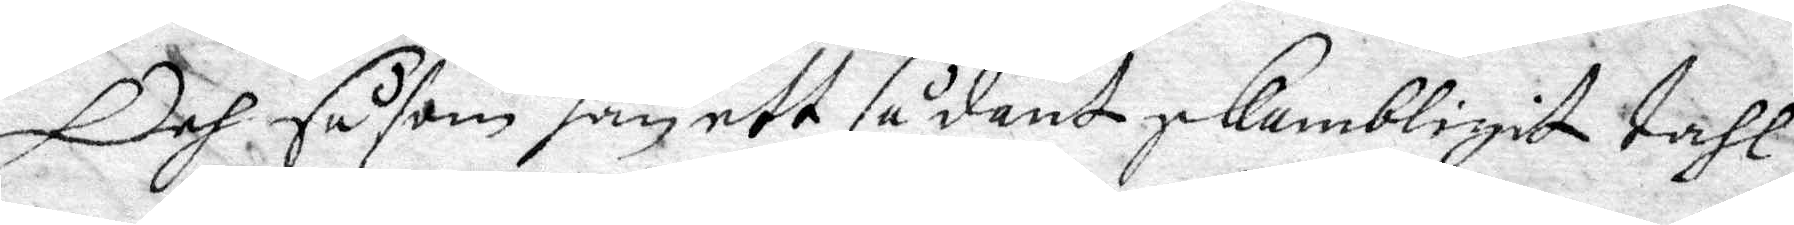Och såsom han ett sådant skambligit tahl
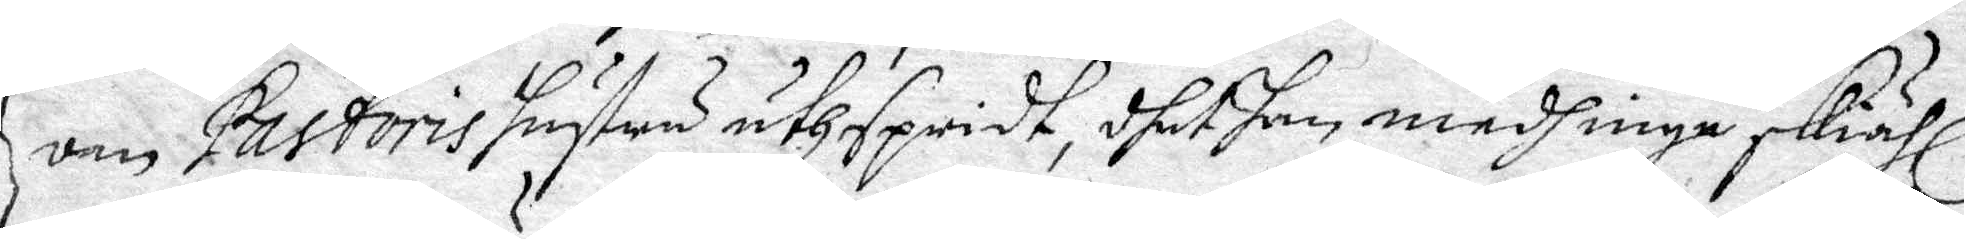om Pastoris hustru uthspridt, dhet han medh inga skiähl
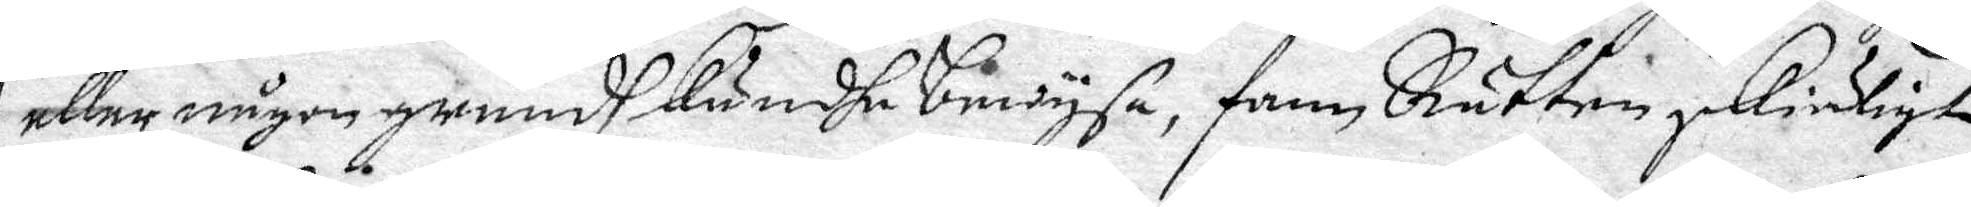eller någon grundh kundhe bewysa, fann Rätten skieligt
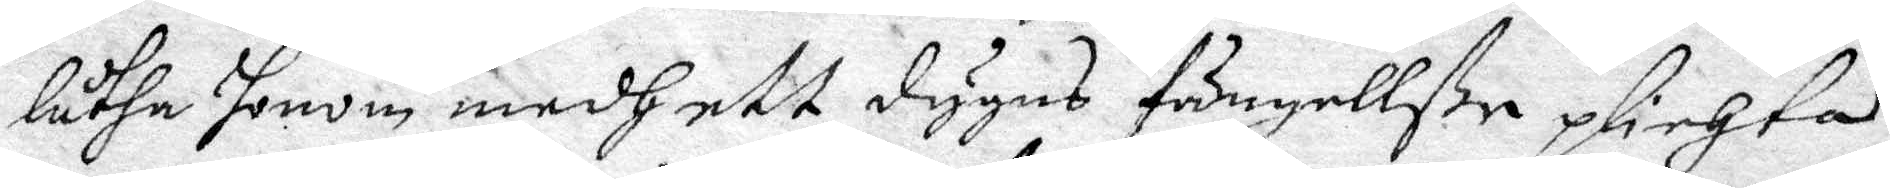låtha honom medh ett dygns fängellße plichta,
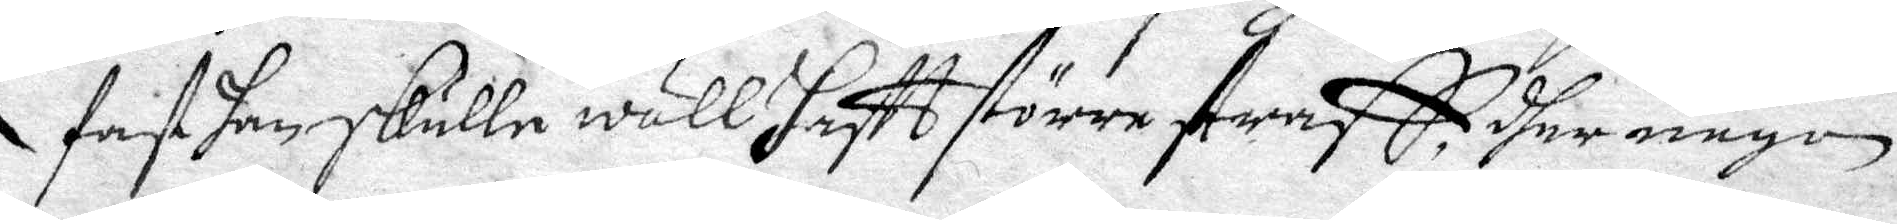fast han skulle wäll haftt större straff, dher någon
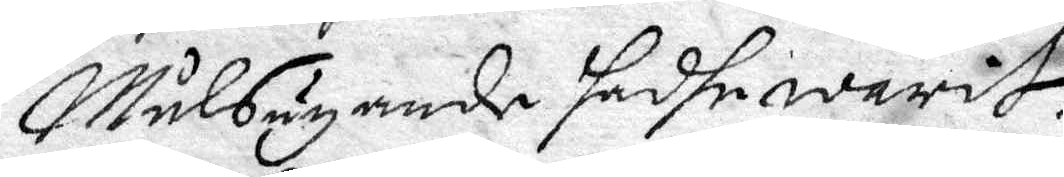Målsäyande hadhe warit.
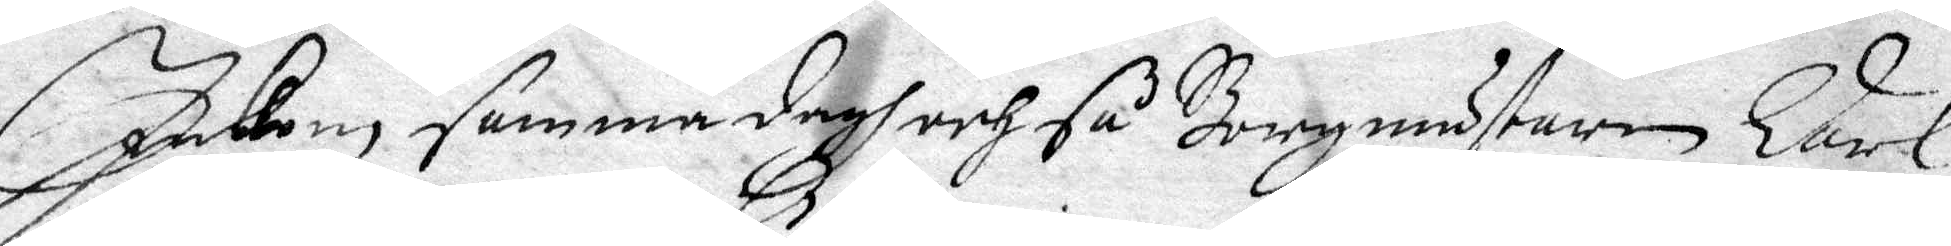Inkom samma dagh och så Borgmästaren Carl
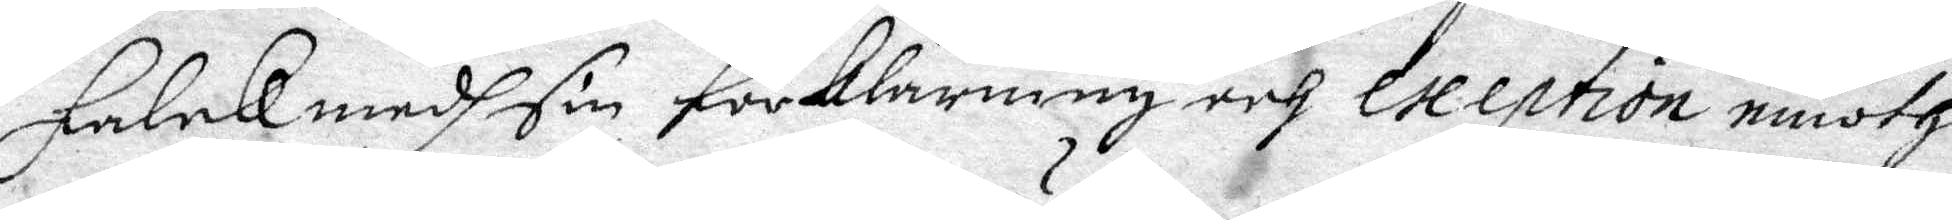Falck medh sin förklaring och exeption emoth
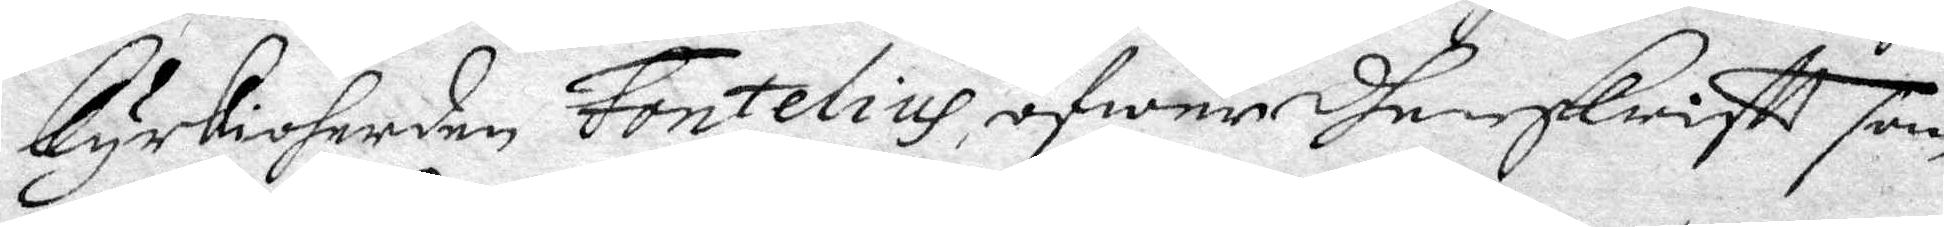kyrkioherden Fontelius öfwer dhen skriftt som
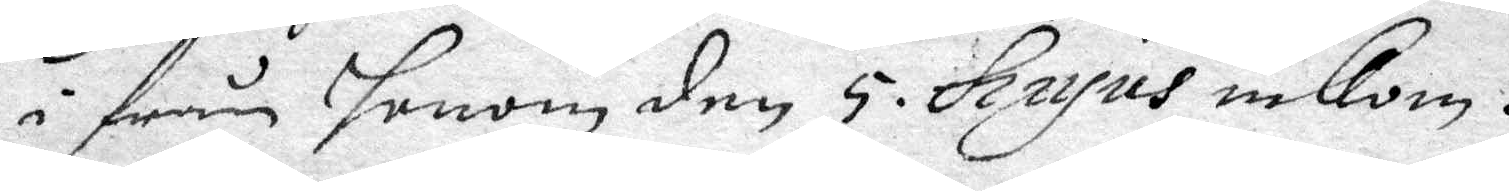i från honom den 5 hujus inkom.
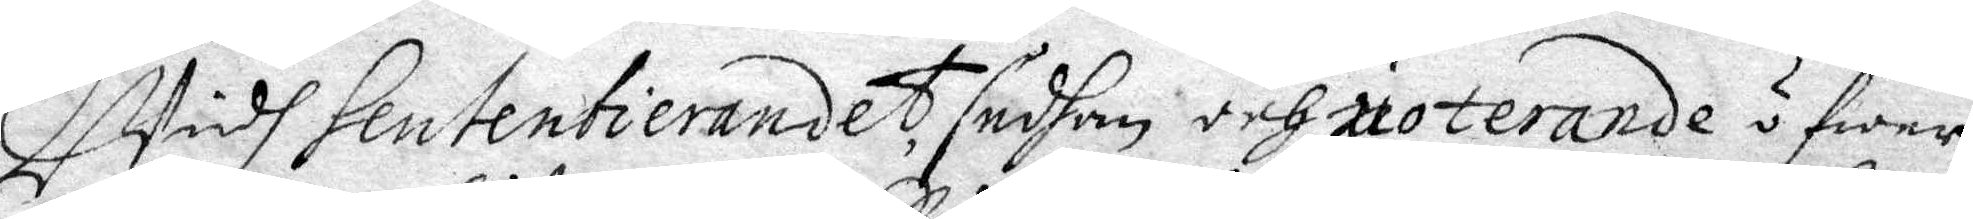Widh Sententierandet, sedhan och uoterande öfwer
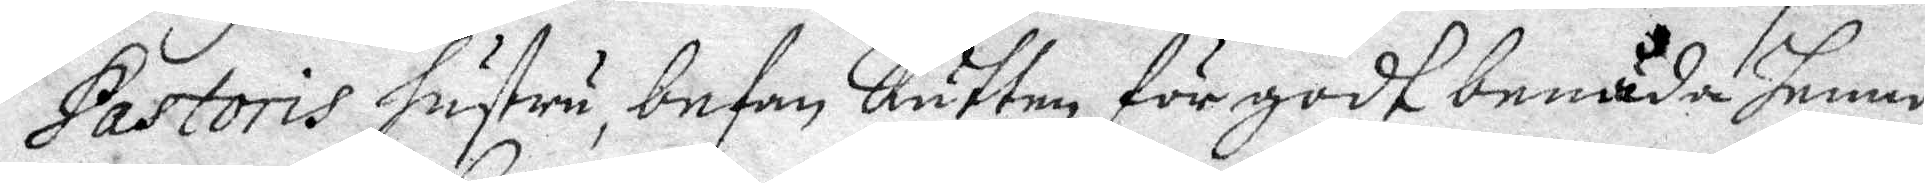Pastoris hustru, befn Rätten för godt benåda henne
